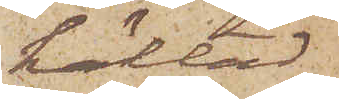häktad
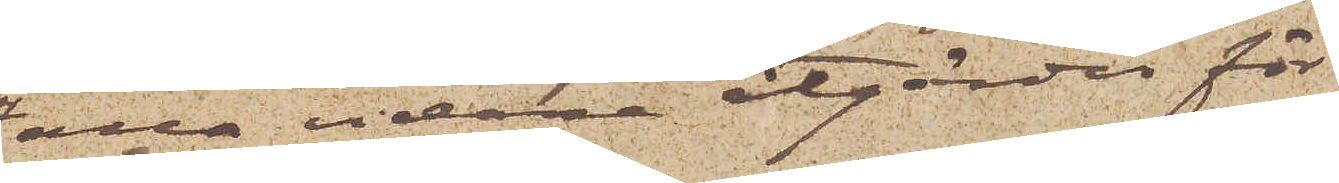alla vidare åtgärder för
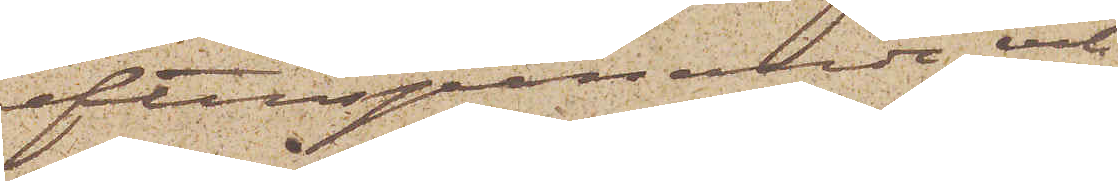efterspanande och
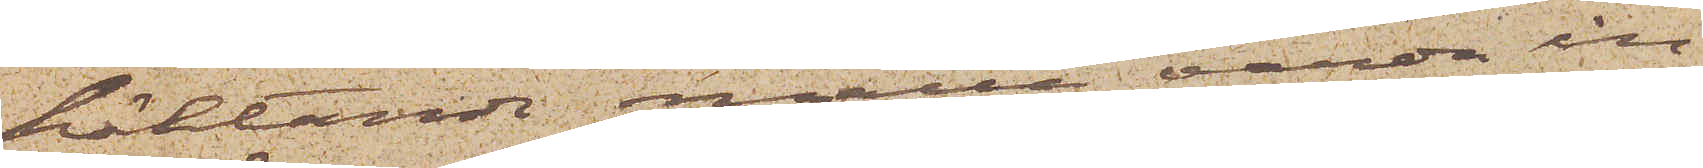häktande måtte varda in¬
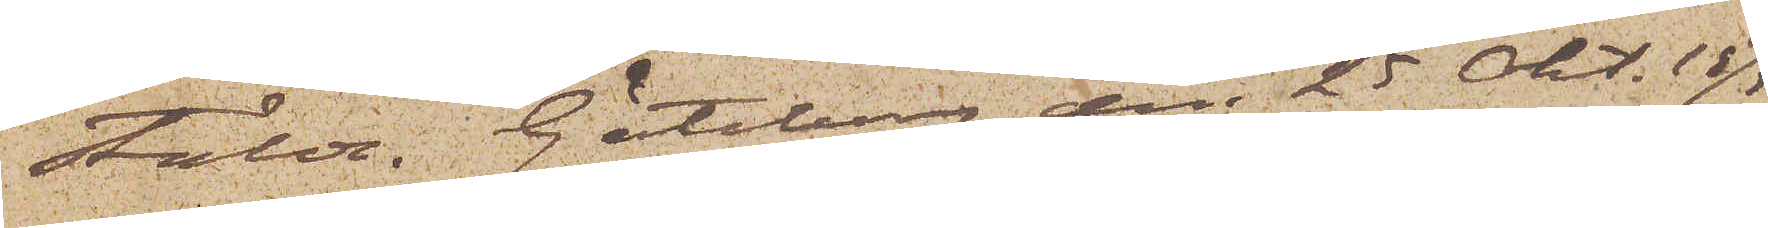stälde. Göteborg den 25 Okt. 1875.
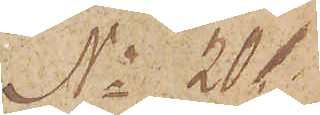No 20.
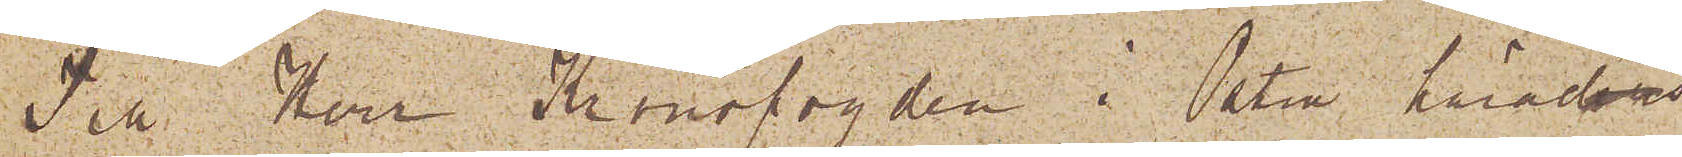Till Herr Kronofogden i Östra häraders
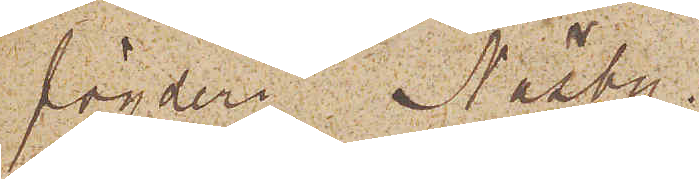fögderi Näsby.
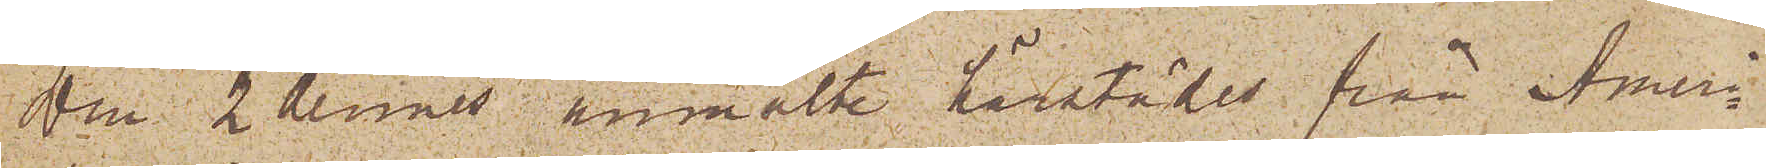Den 2 dennes anmälte härstädes från Ameri¬
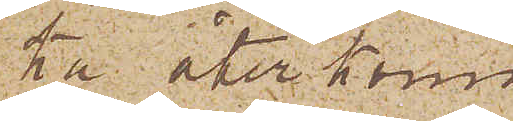ka återkom¬
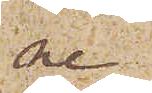ne
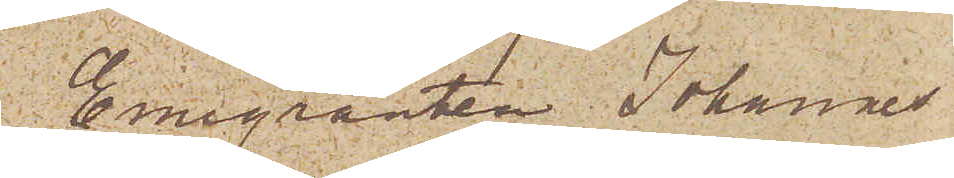Emigranten Johannes
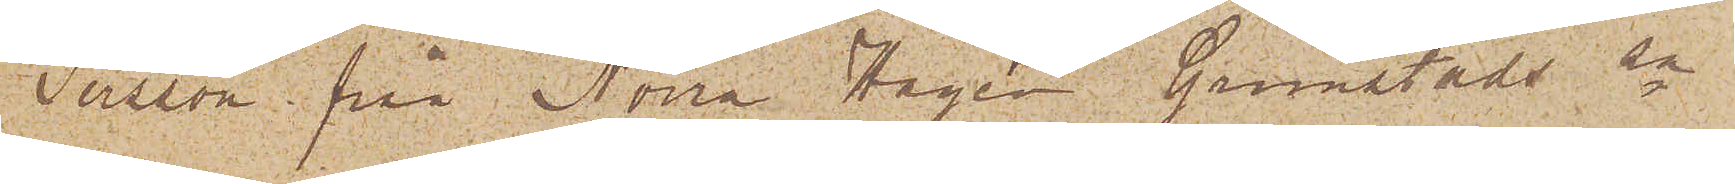Persson från Norra Hagen Grimstads sn
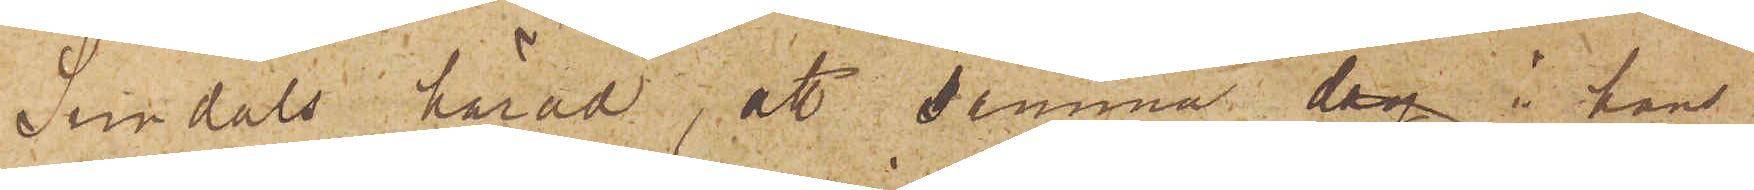Sundals härad; att denna dag i hans
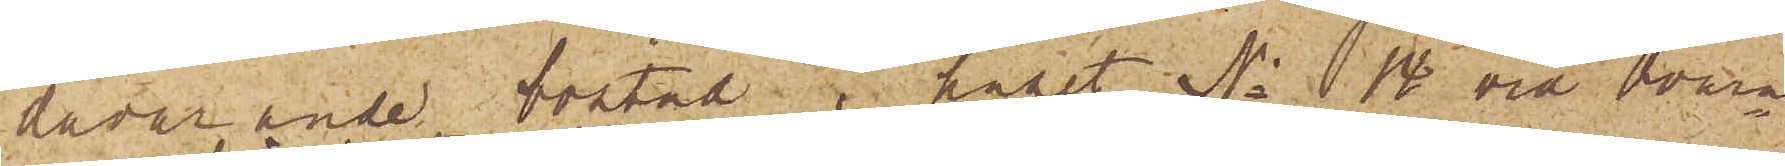dåvarande bostad i huset No 14 vid Qvarn¬
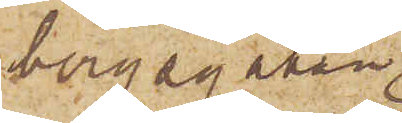bergsgatan
